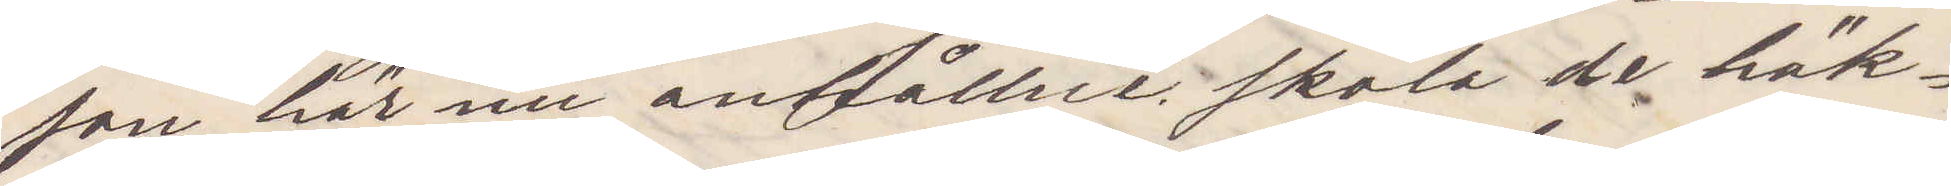son här nu anhållne skall de häk¬
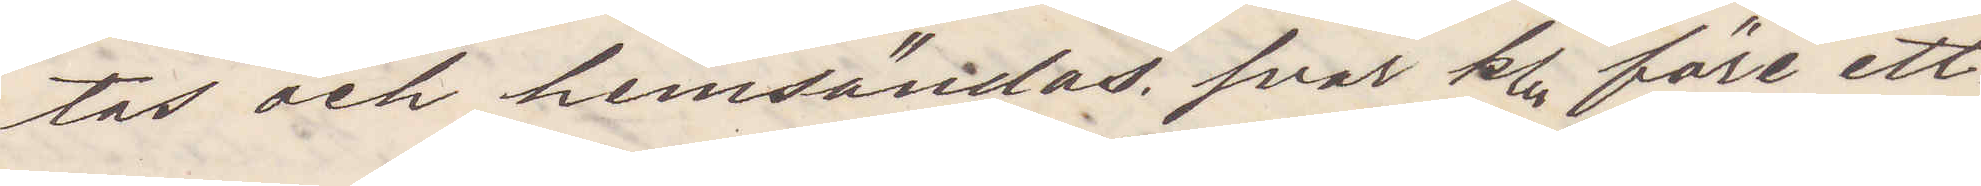tas och hemsändas svar kl före ett
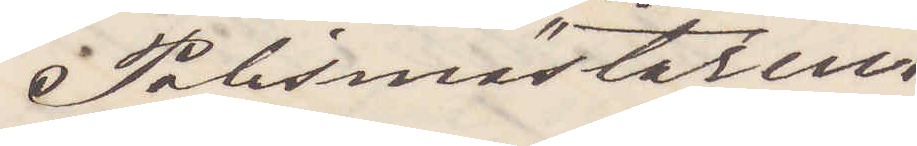Polismästaren
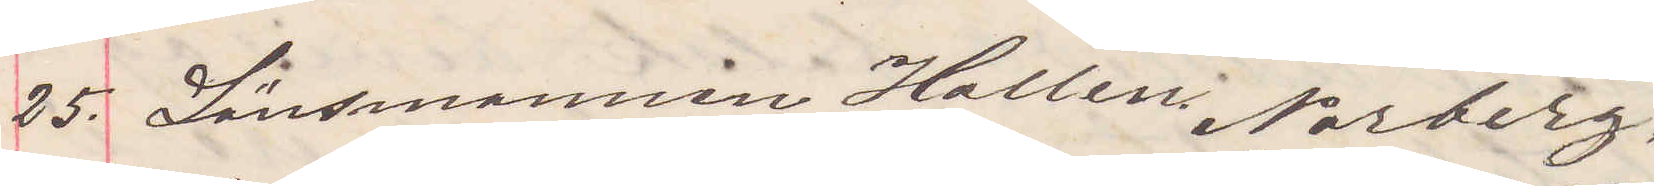25. Länsmannen Hallen Norberg.
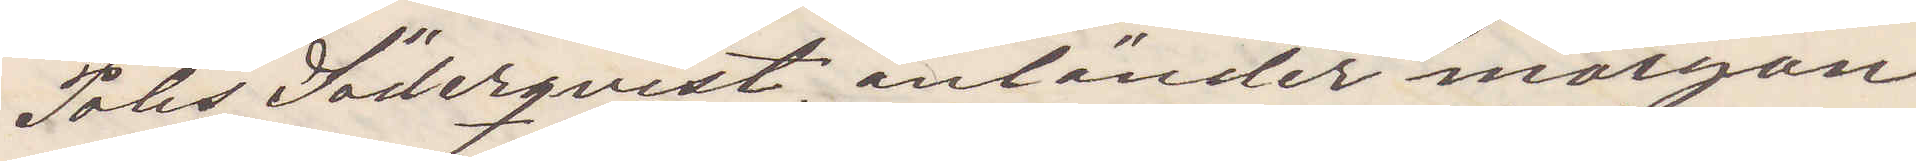Polisman Söderqvist anländer morgon
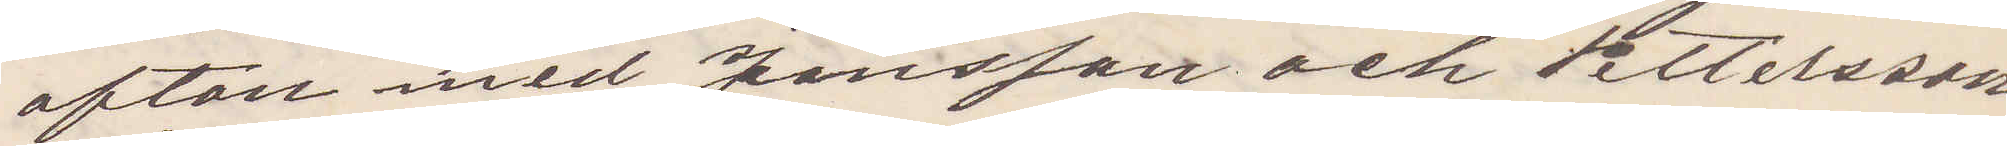afton med Jansson och Pettersson
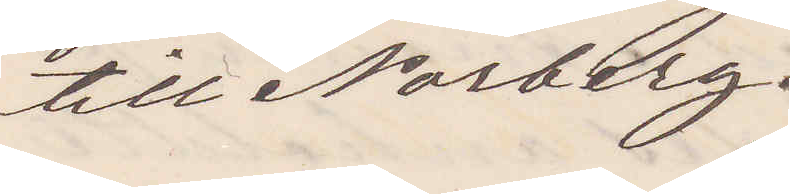till Norberg.
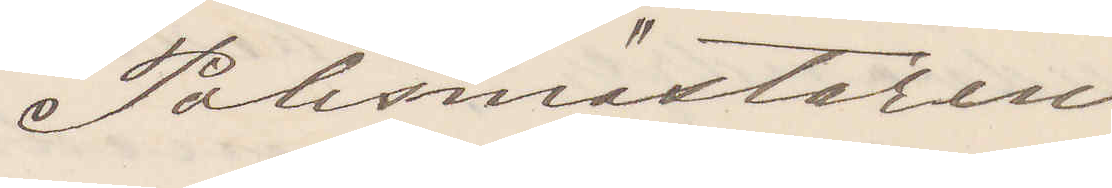Polismästaren
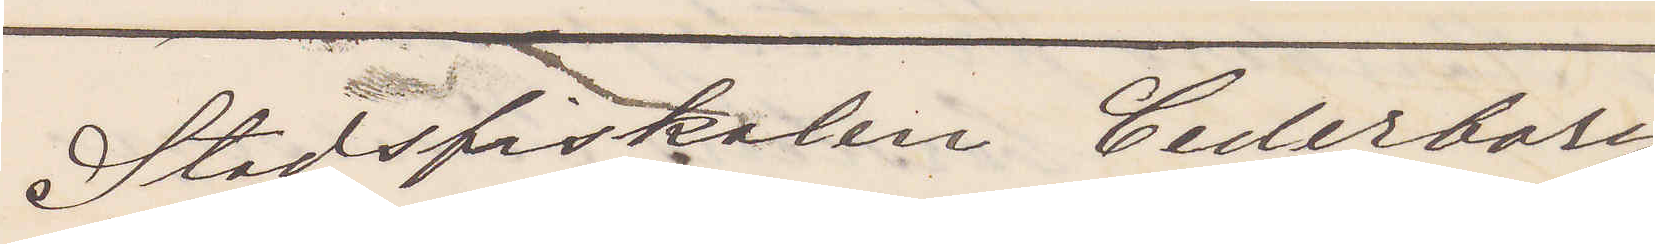Stadsfiskalen Cederborg
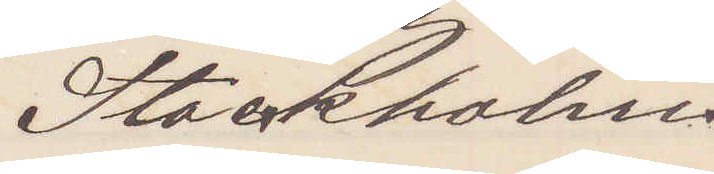Stockholm
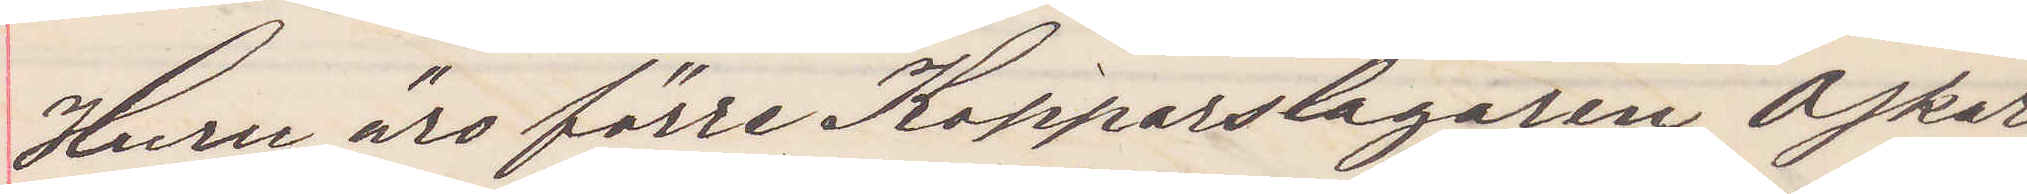Huru äro förre Kopparslagaren Oskar
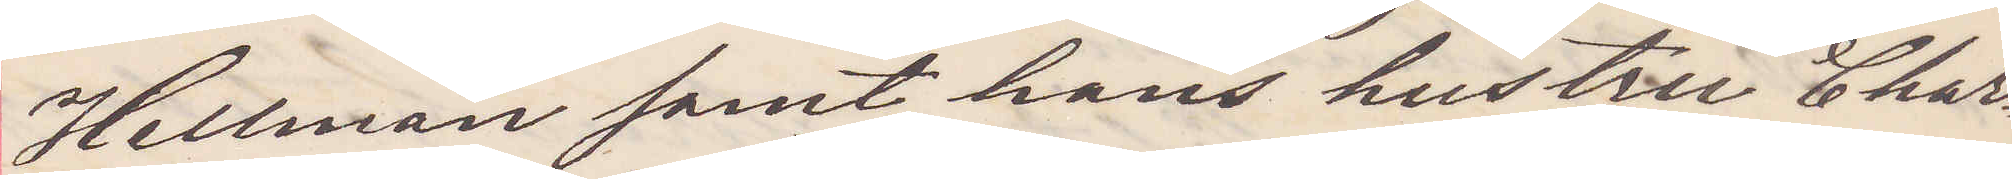Hellman samt hans hustru Char¬
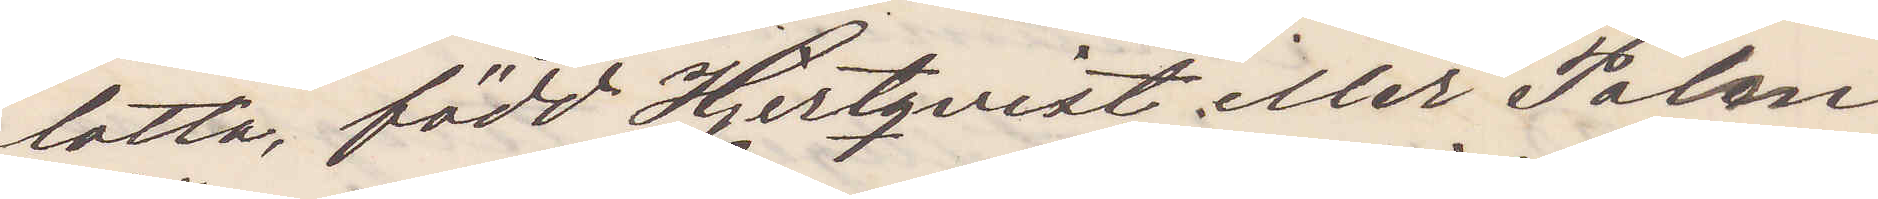lotta, född Hjertqvist eller Palm
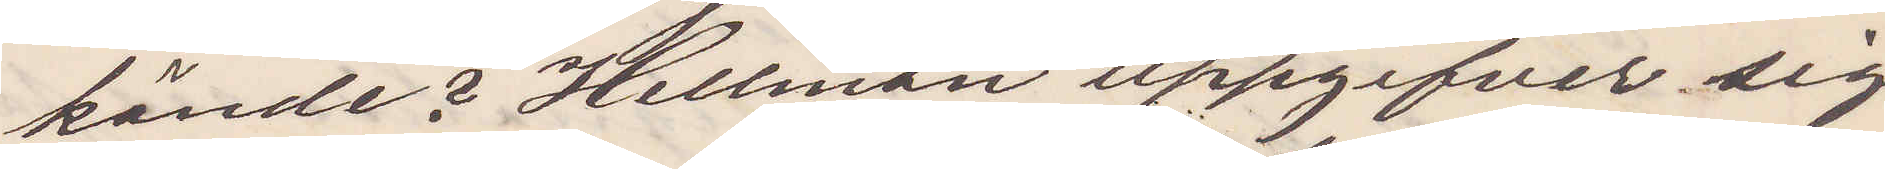kände? Hellman uppgifver sig
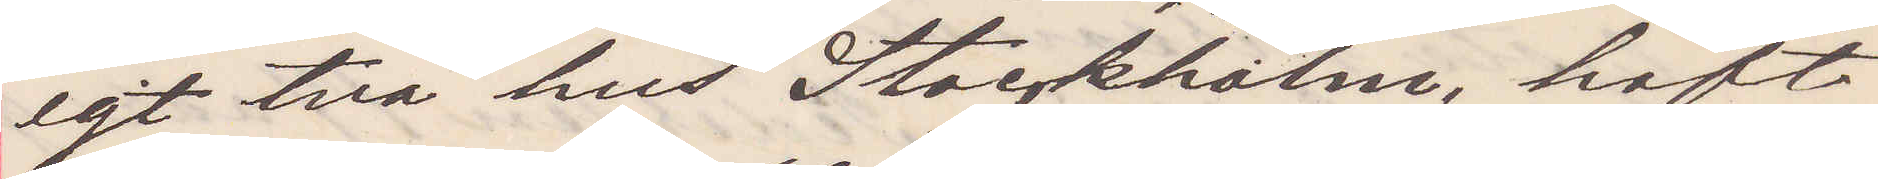egt två hus Stockholm, haft
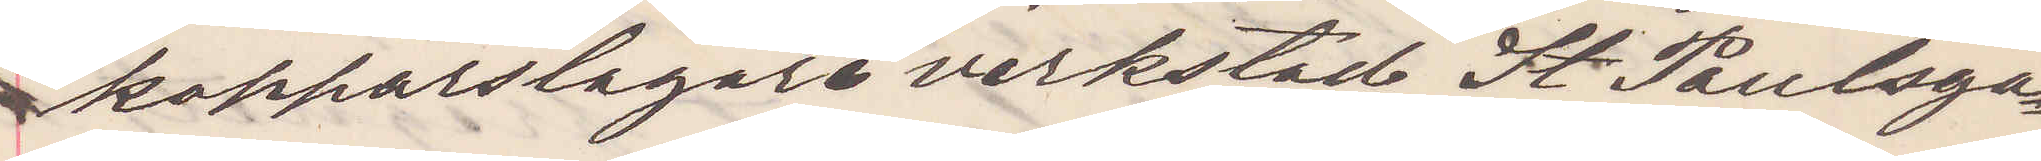kopparslagare verkstad St Paulsga¬
